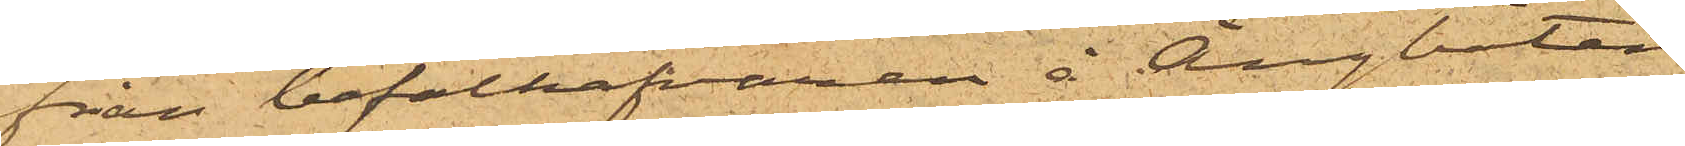från befälhafvaren å Ångbåten
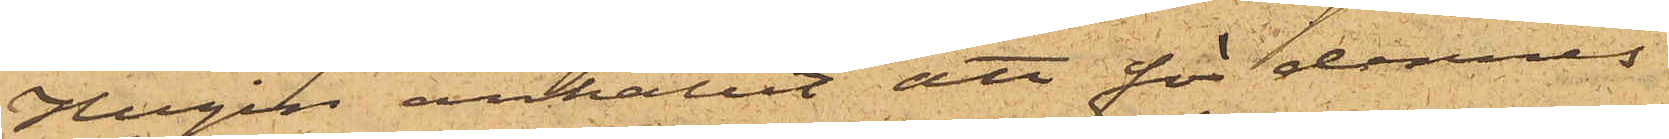Hugin anhållit att för dennes
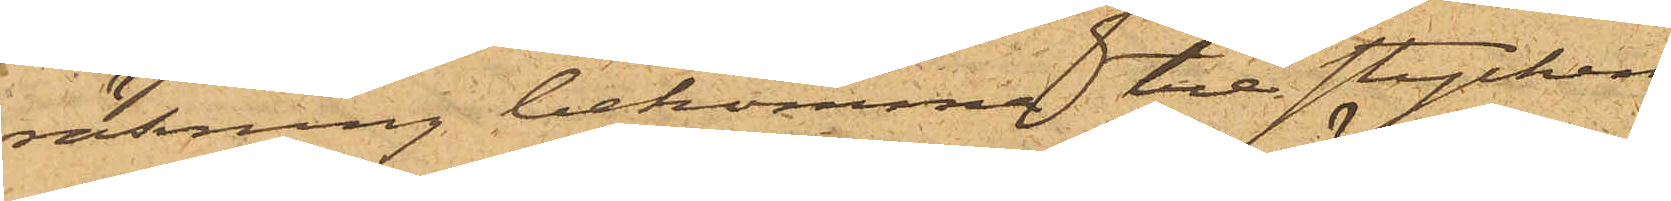räkning bekomme tre stycken
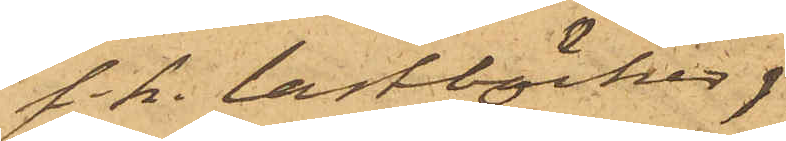s.k. lastböcker,
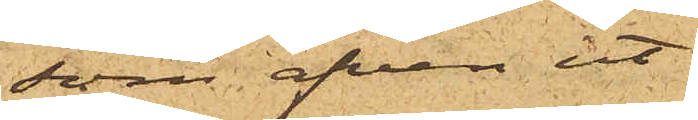som äfven ut¬
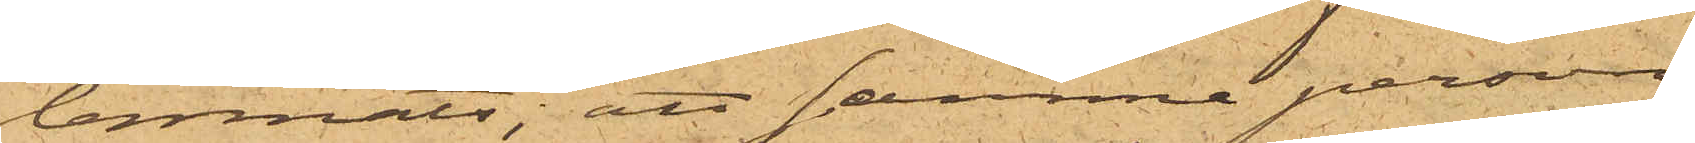lemnats; att samma person
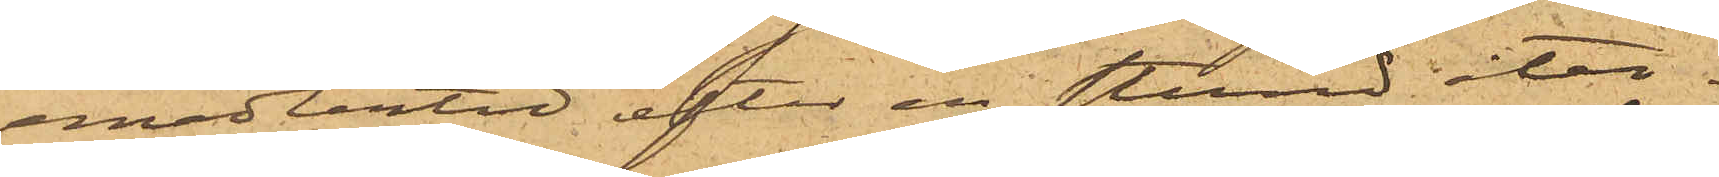emedlertid efter en stund åter¬
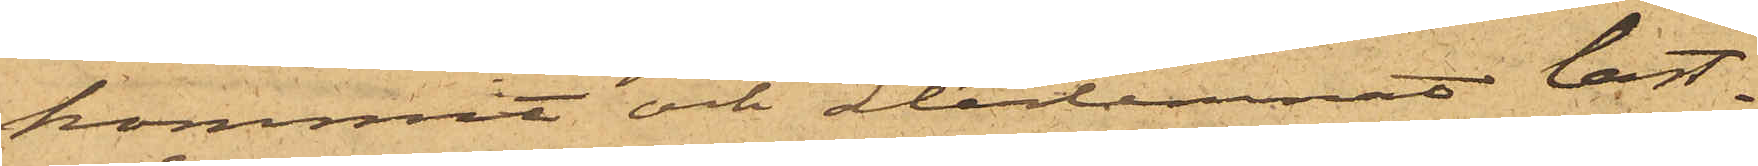kommit och avlemnat last¬
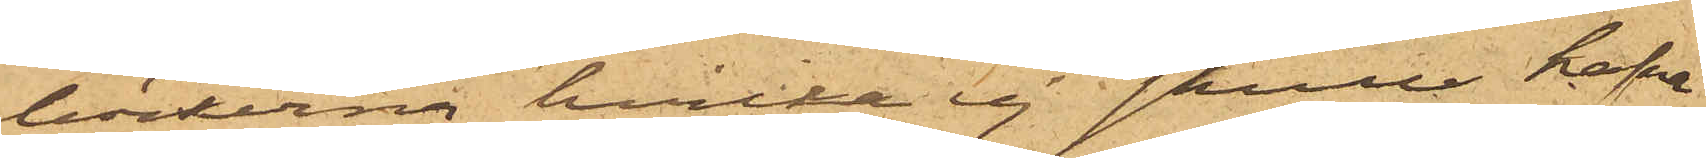böckerna, hvilka ej skulle hafva
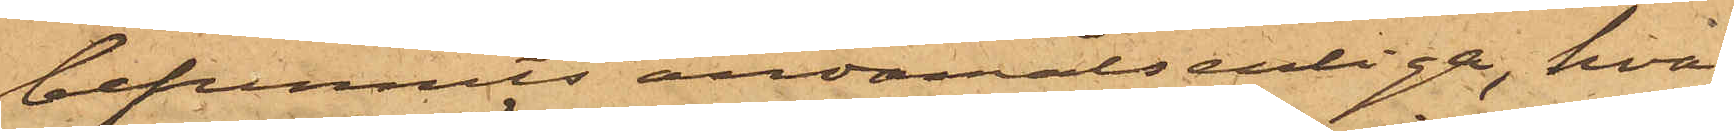befunnits ändamålsenliga, hva¬
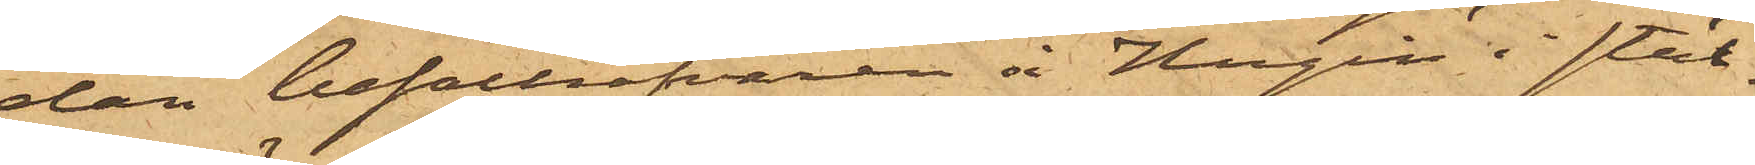dan befälhafvaren å Hugin i stäl¬
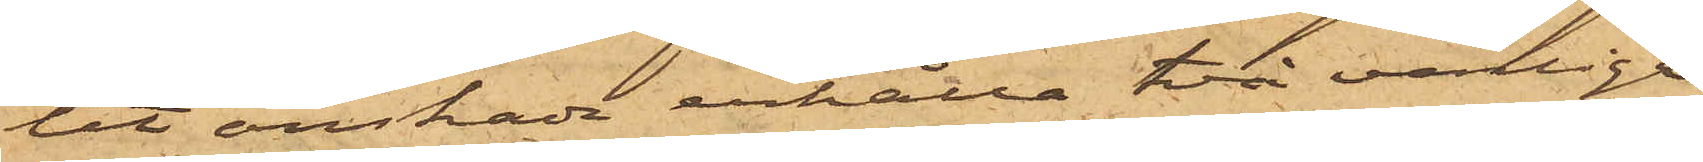let önskade erhålla två vanliga
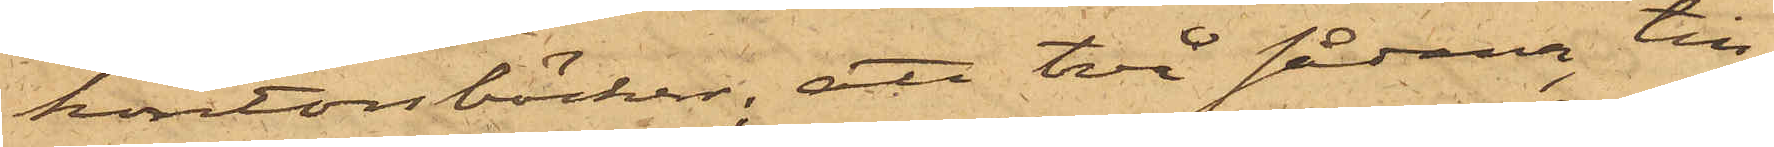kontorsböcker, att två sådana, till¬
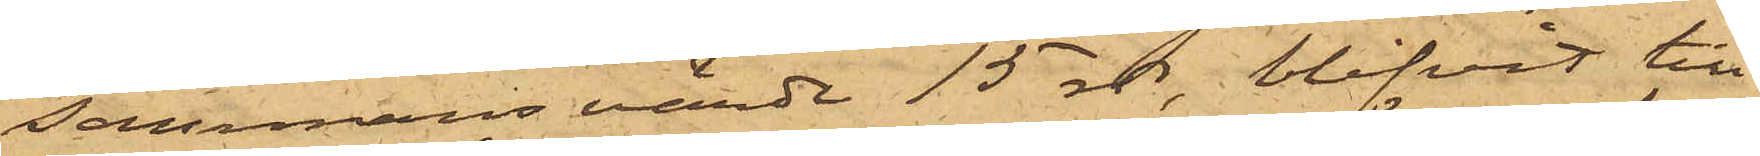sammans värde 15 rdr, blifvit till
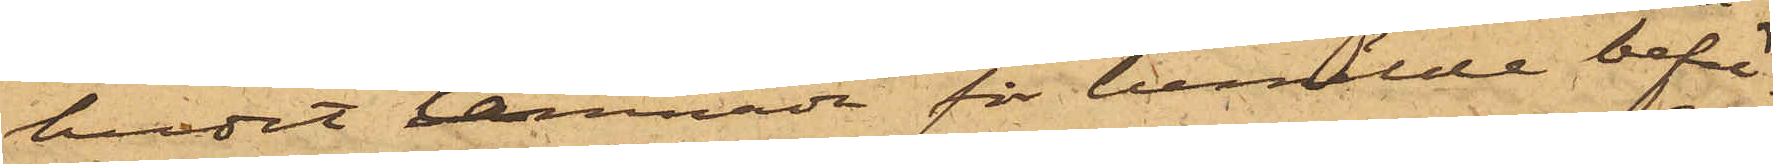budet lemnade för bemälde befäl¬
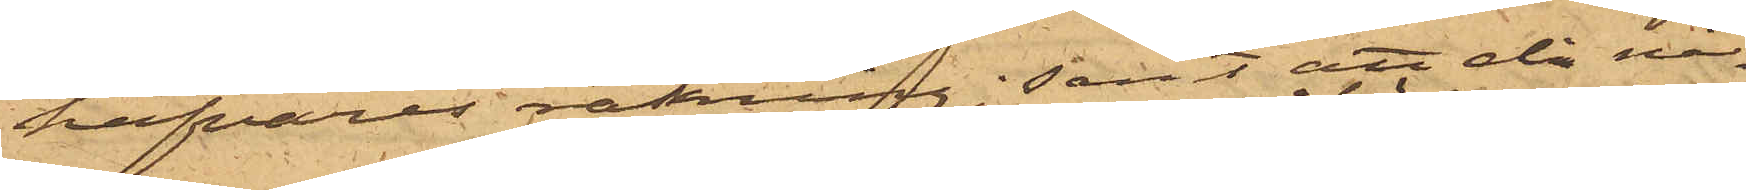hafvares räkning; samt att då nå¬
